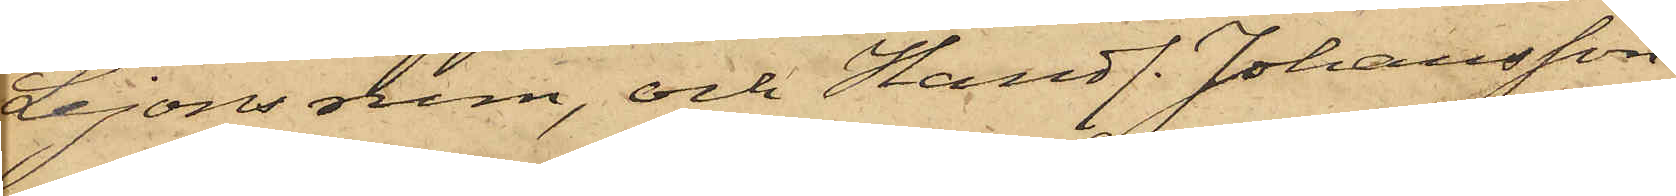Lejons rum, och Handl. Johansson
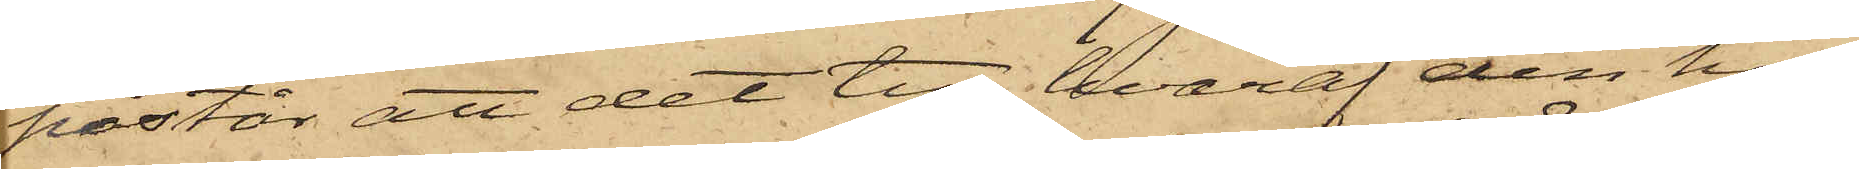påstår att det tyg, hvaraf den hos
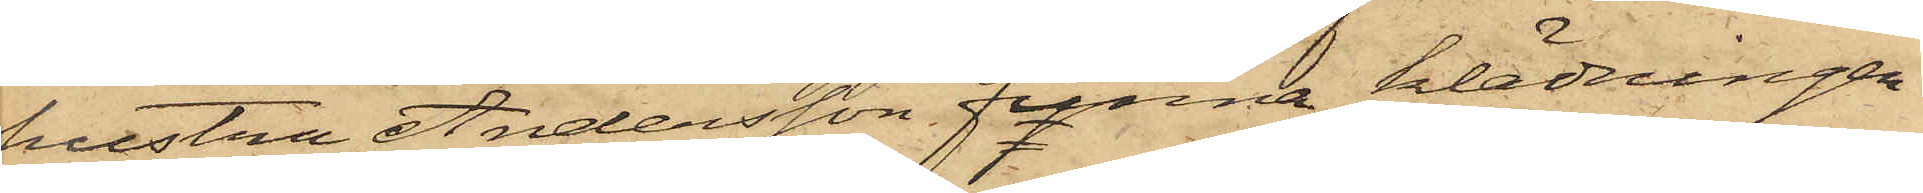hustru Andersson funna klädningen
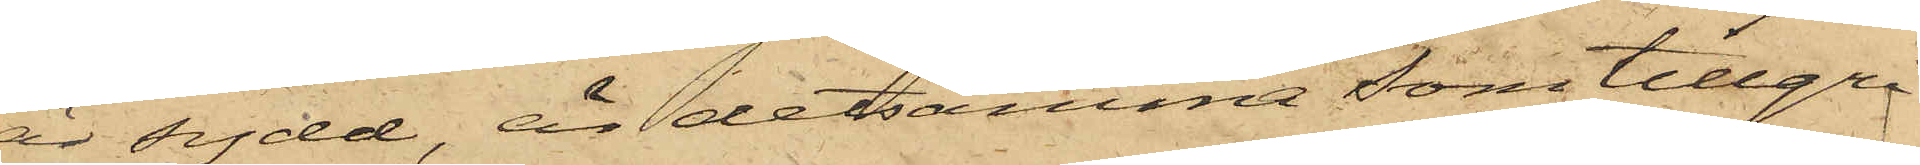är sydd, är detsamma som tillgri¬
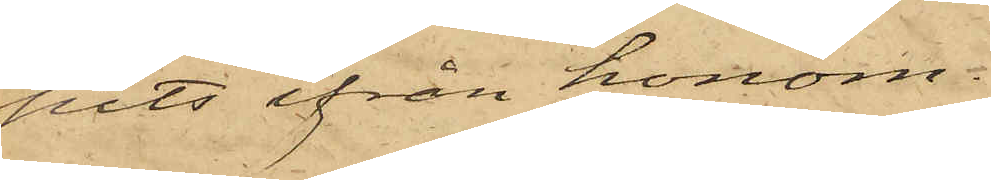pits ifrån honom.
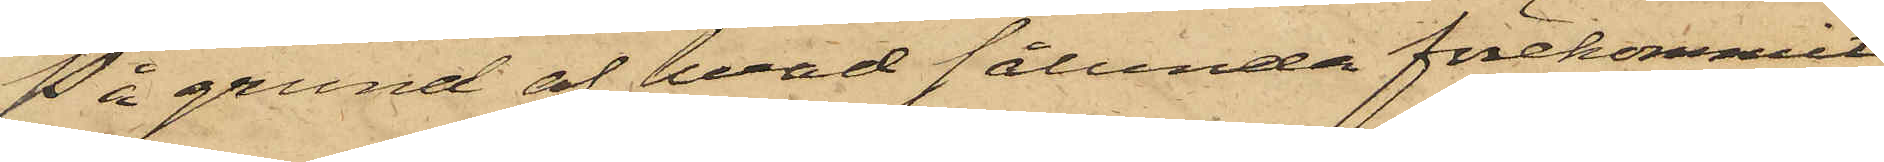På grund af hvad sålunda förekommit,
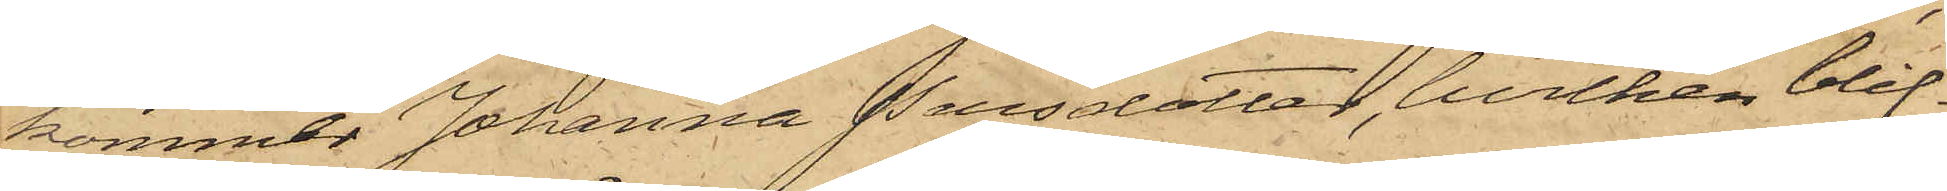kommer Johanna Persdotter, hvilken blif¬
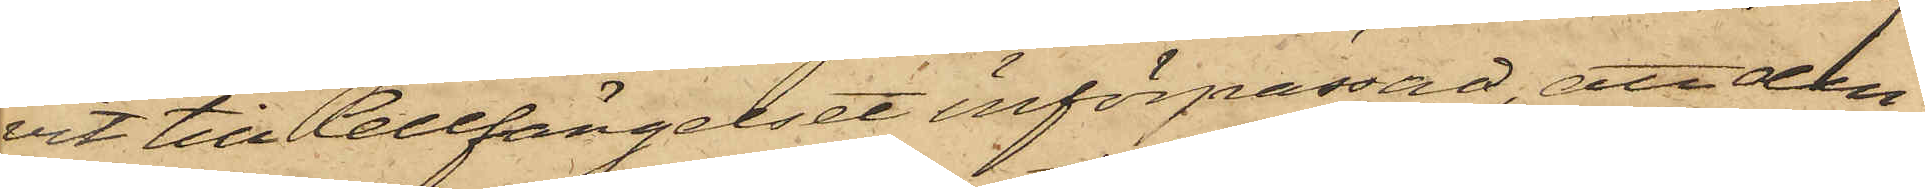vit till Cellfängelset införpassad, att den
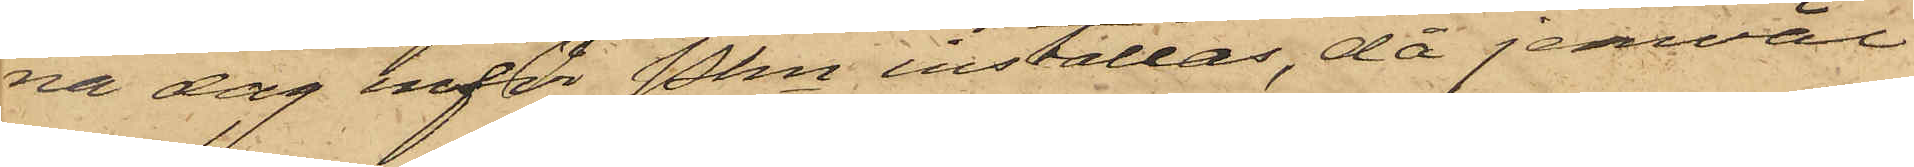na dag inför Pkn inställas, då jemväl
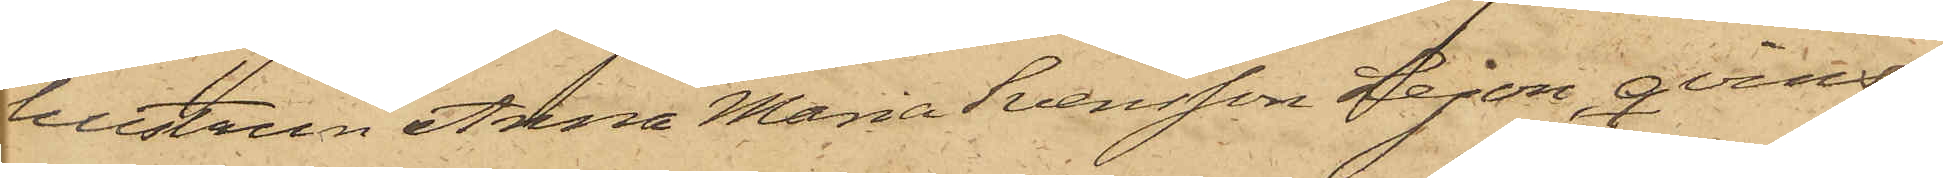hustrun Anna Maria Svensson Lejon, qvins¬
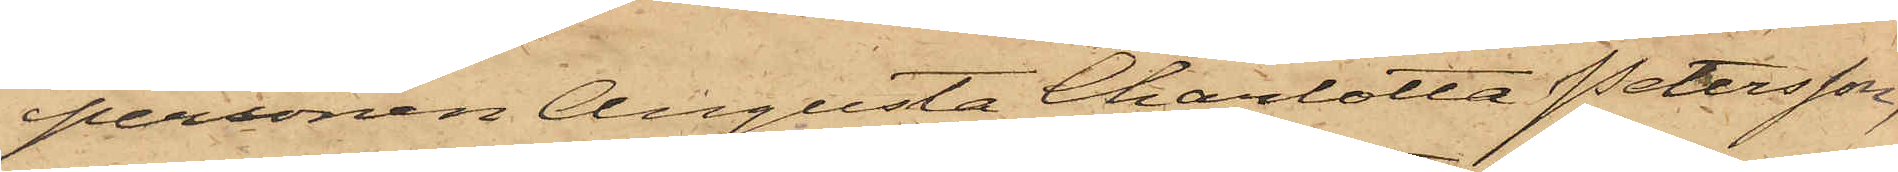personen Augusta Charlotta Petersson,
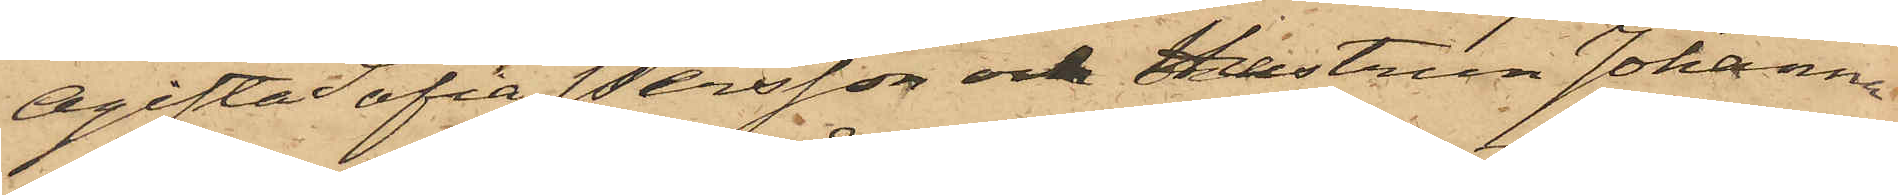Ogifta Sofia Persson och Hustrun Johanna
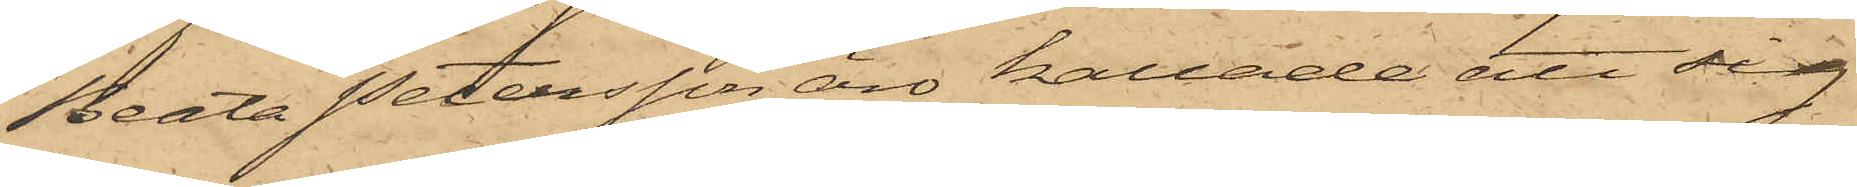Beata Petersson äro kallade att sig
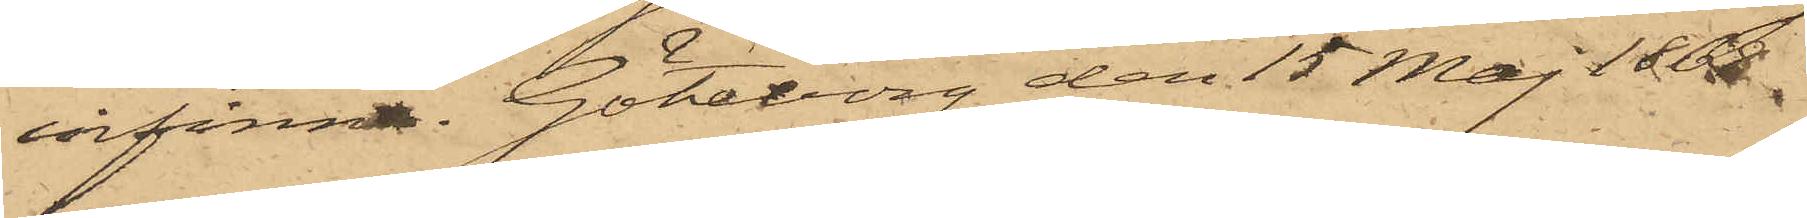infinna. Göteborg den 15 Maj 1868.
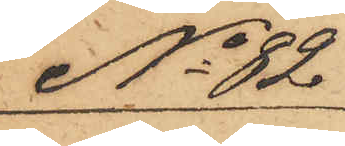No 82
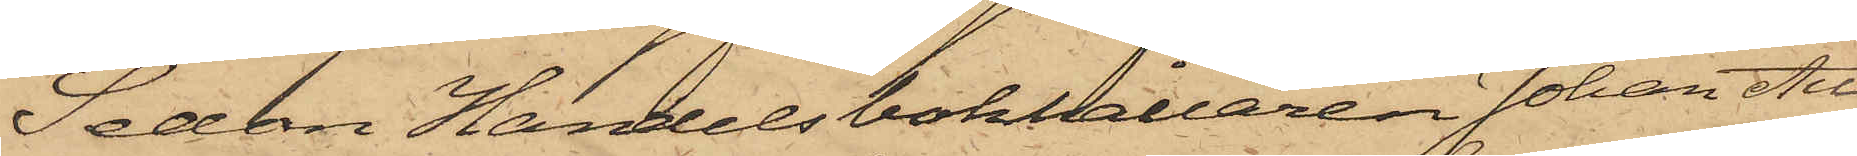Sedan Handelsbokhållaren Johan Au¬
